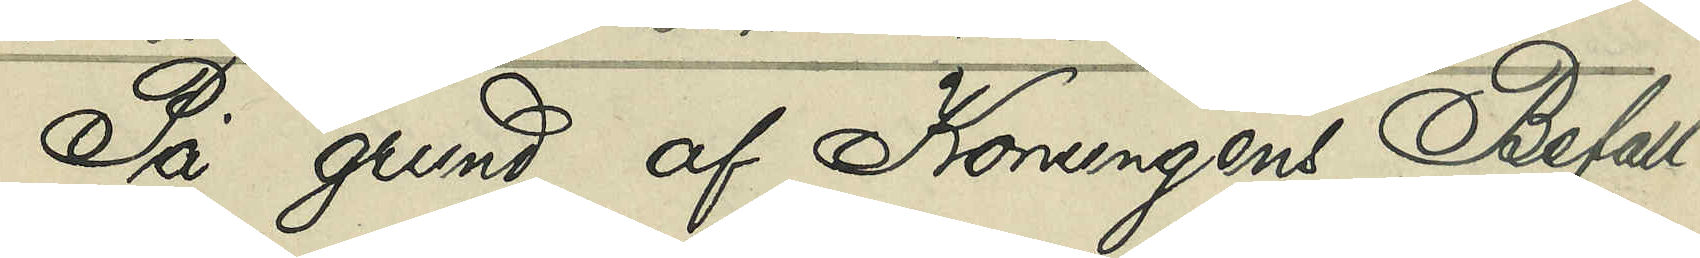På grund af Konungens Befall¬
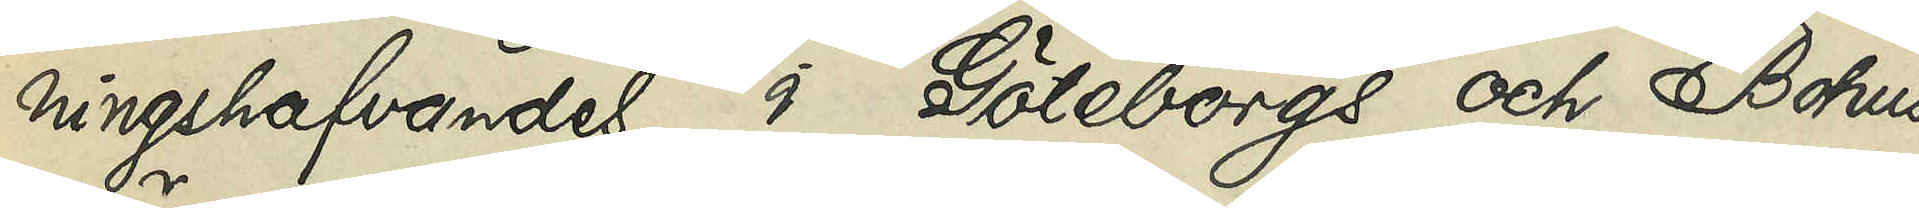ningshafvandes i Göteborgs och Bohus
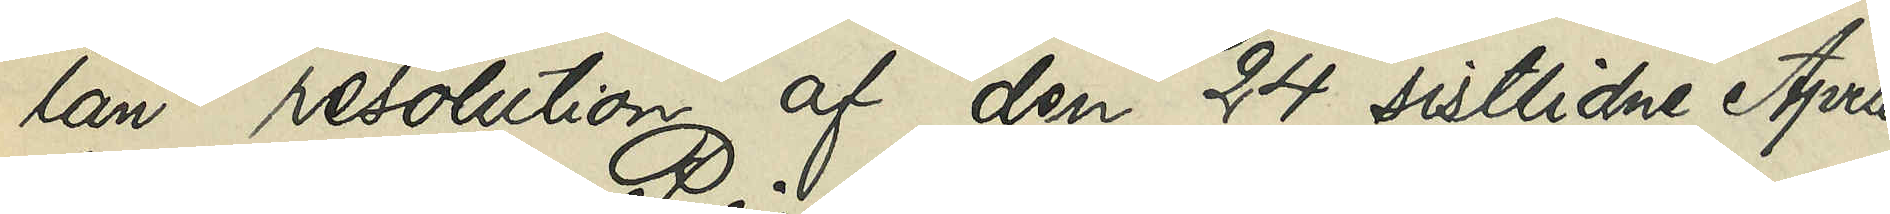län resolution af den 24 sistlidne April,
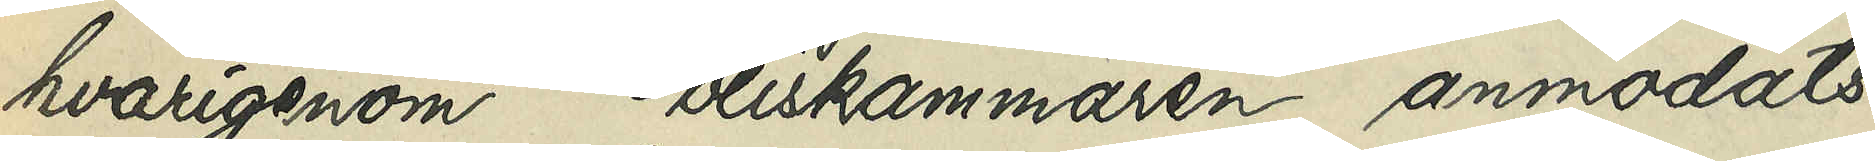hvarigenom Poliskammaren anmodats
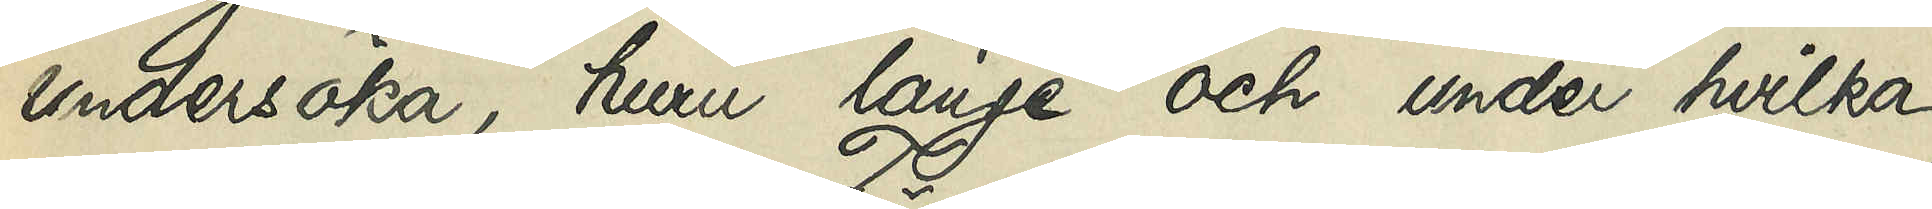undersöka, huru länge och under hvilka
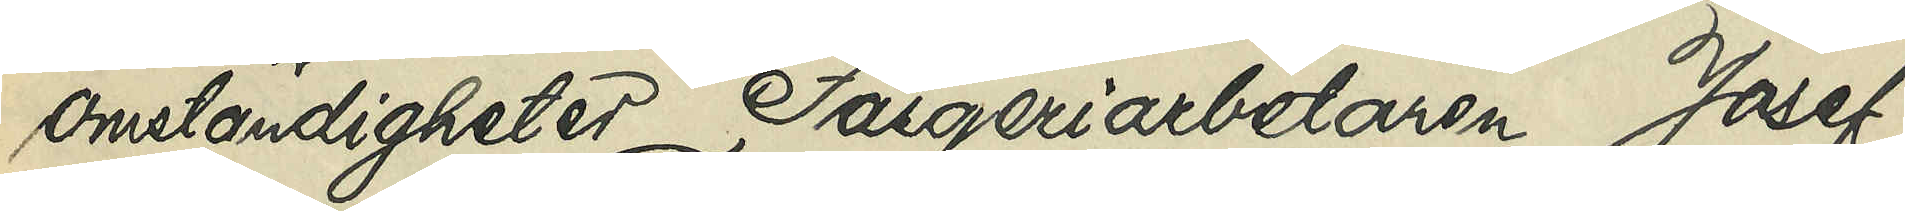omständigheter Färgeriarbetaren Josef
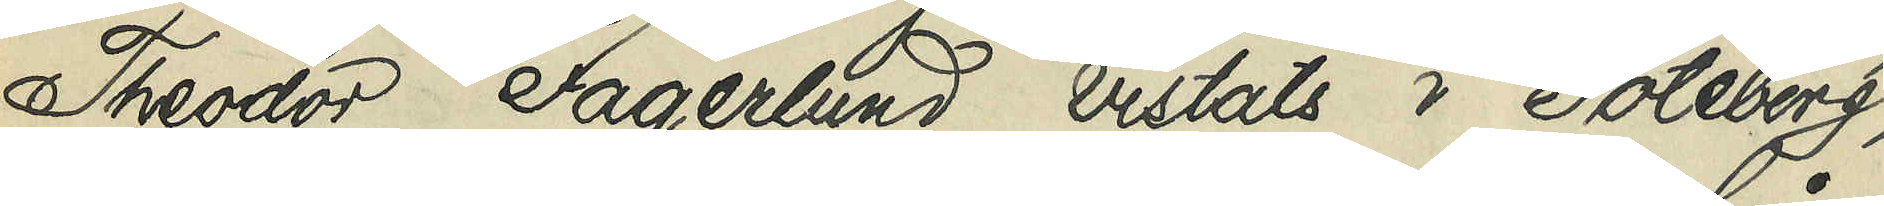Theodor Fagerlund vistat i Göteborg,
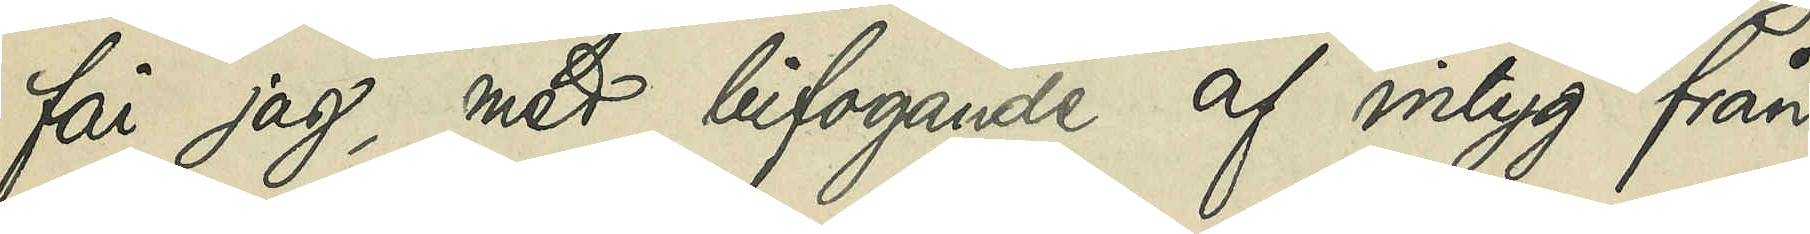får jag, med bifogande af intyg från
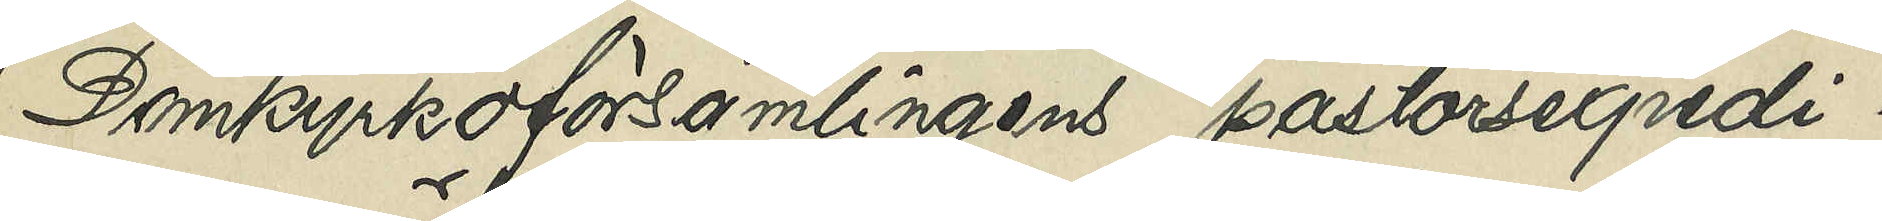Domkyrkoförsamlingens pastorsexpedi¬
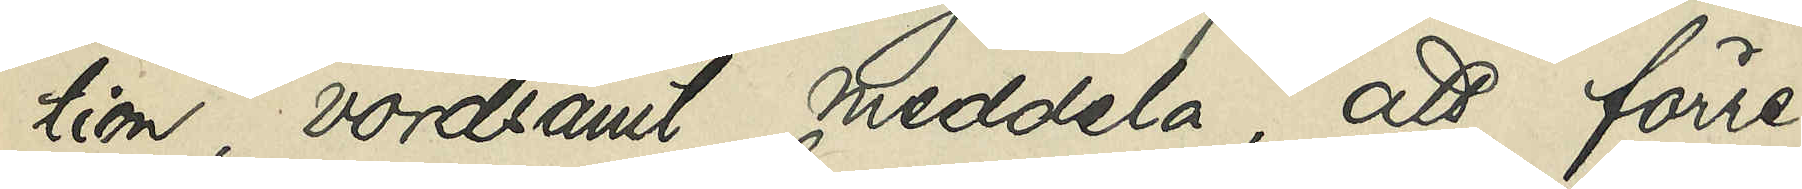tion, vördsamt meddela, att förre
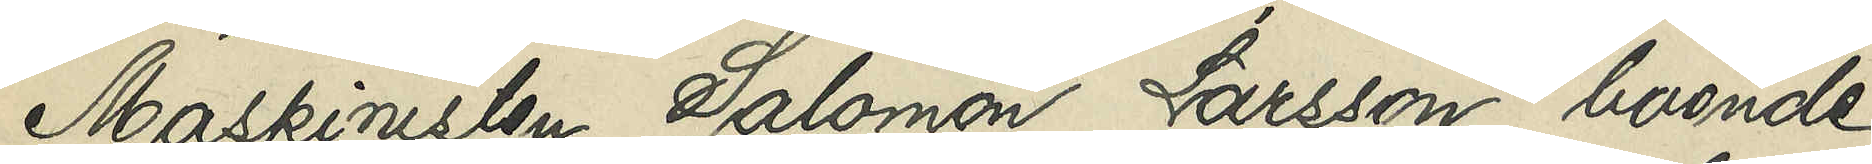Maskinisten Salomon Larsson, boende
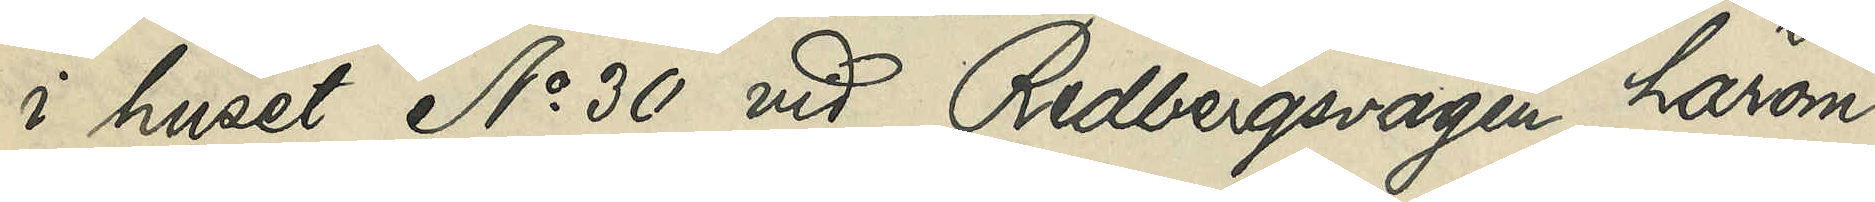i huset No 30 vid Redbergsvägen, härom
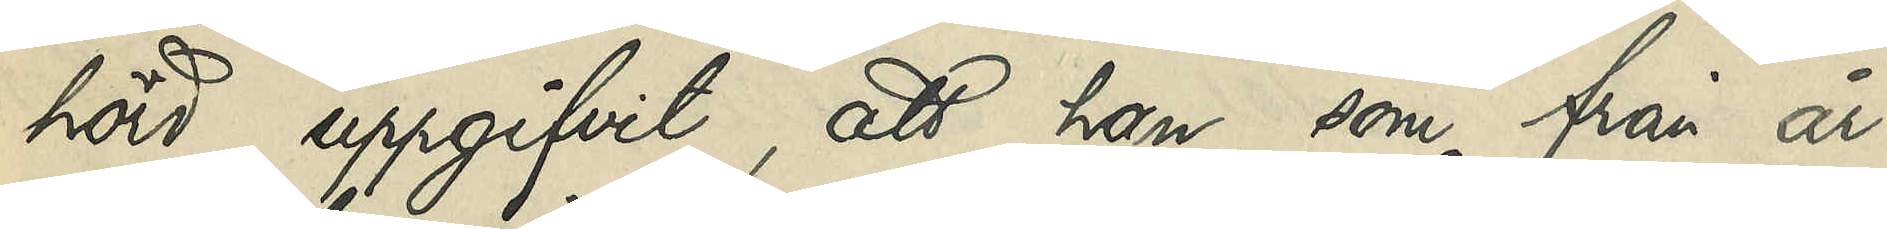hörd, uppgifvit, att han, som från år
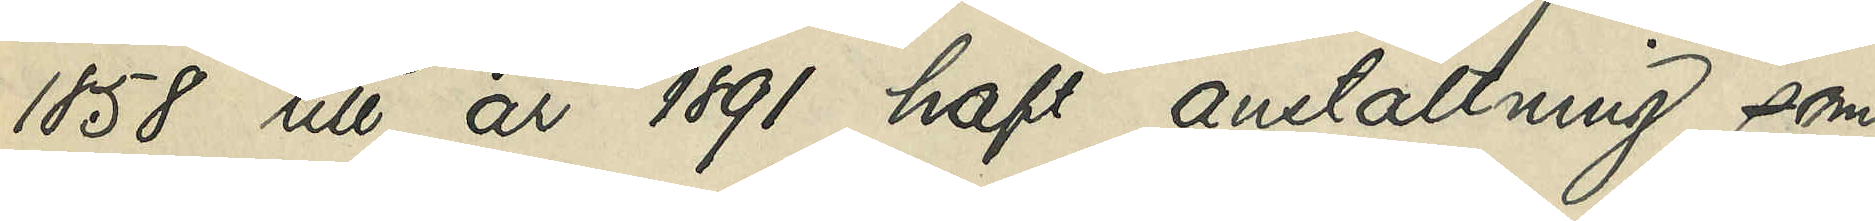1858 till år 1891 haft anställning som
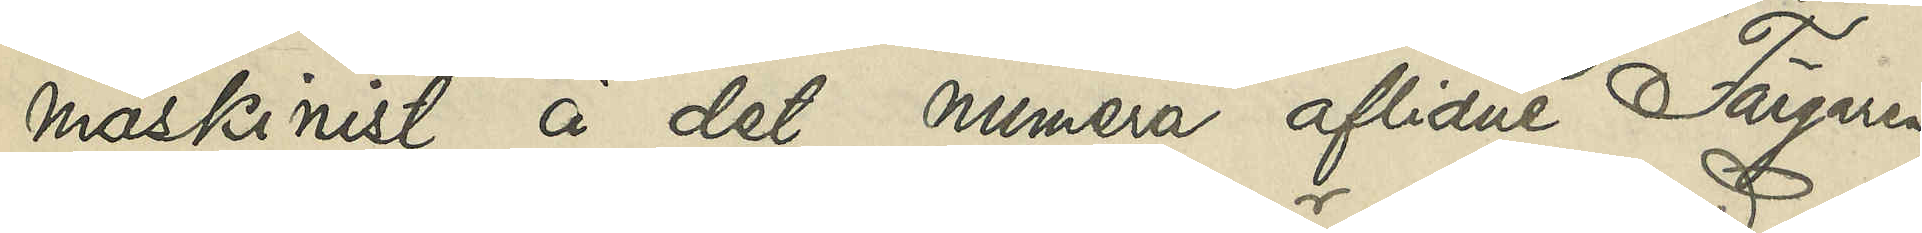maskinist å det numera aflidne Färgaren
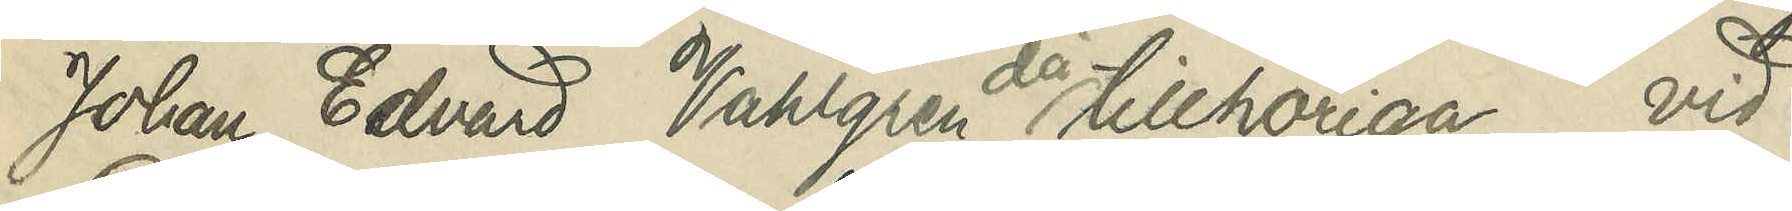Johan Edvard Vahlgren då tillhörige, vid
